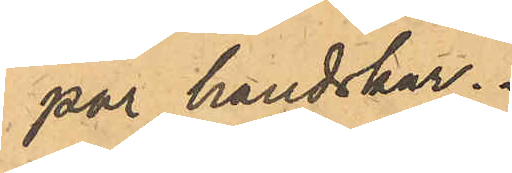par handskar.
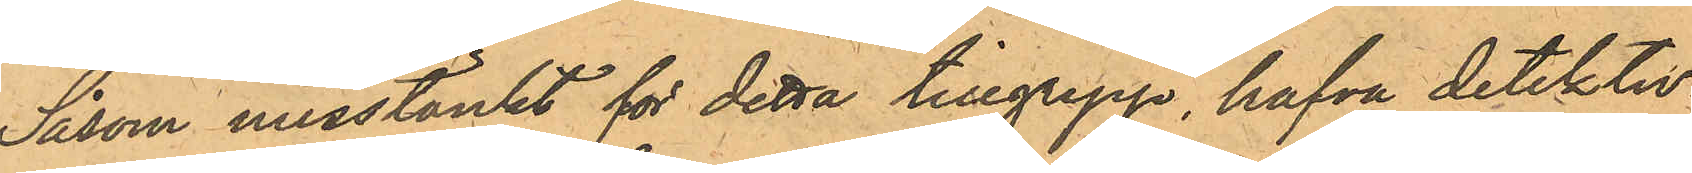Såsom misstänkt för detta tillgrepp, hafva detektiv¬
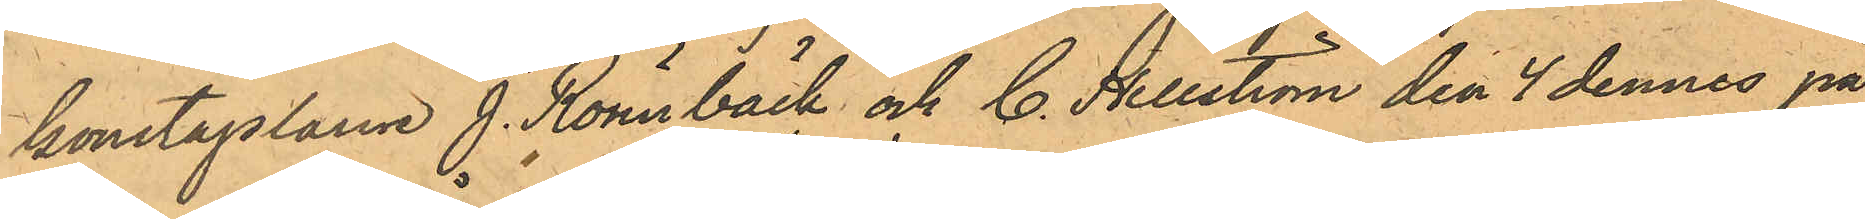konstaplarne J. Rönnbäck och C. Hellström den 4 dennes på
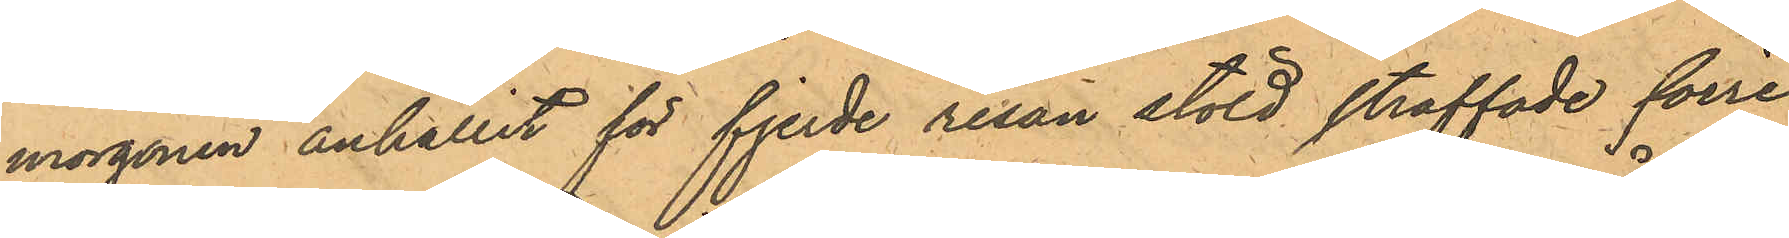morgonen anhållit för fjerde resan stöld straffade förre
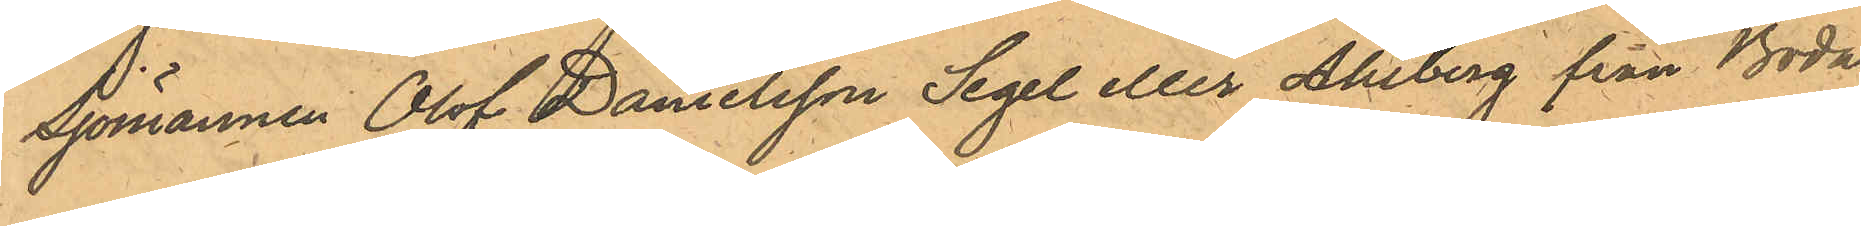Sjömannen Olof Danielsson Segel eller Ahlberg från Böda
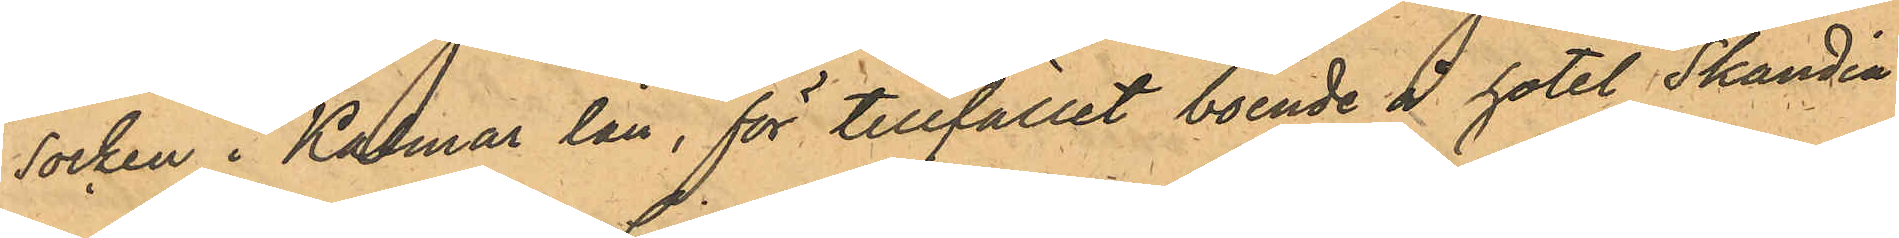Socken i Kalmar län, för tillfället boende å hotel "Skandia"
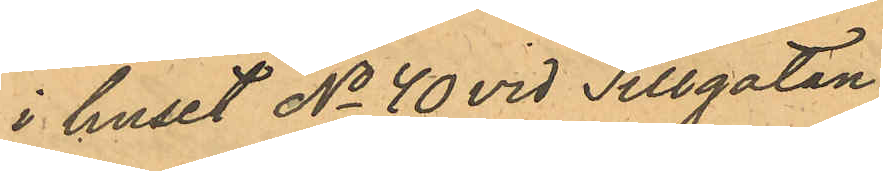i huset No 40 vid Sillgatan.
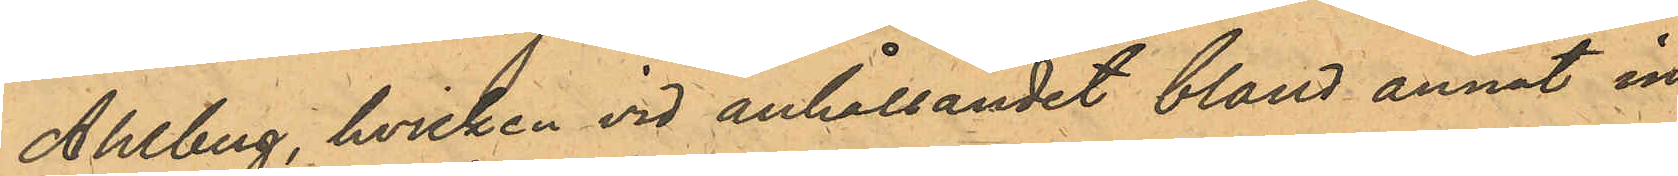Ahlberg, hvilken vid anhållandet bland annat in¬
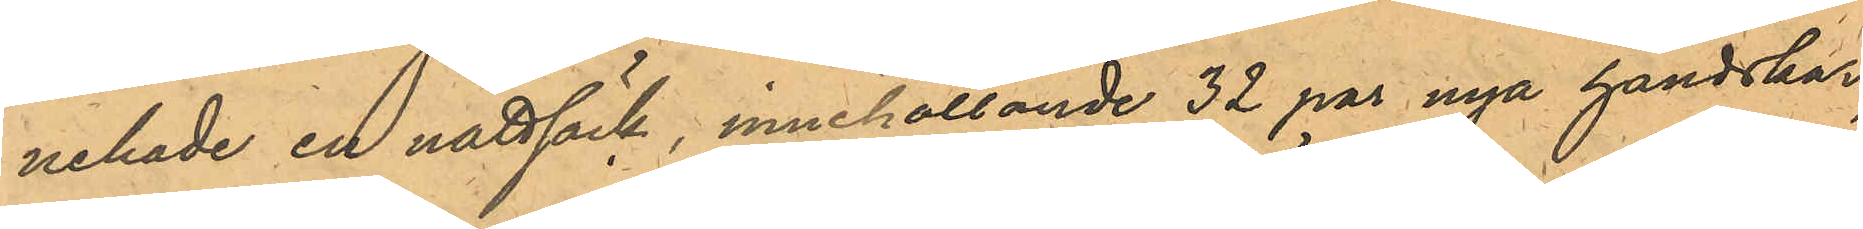nehade en nattsäck, innehållande 32 par nya handskar,
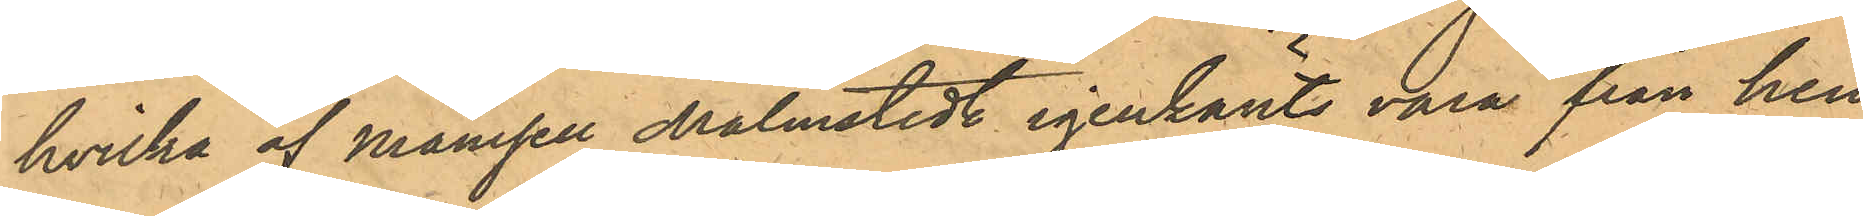hvilka af Mamsell Malmstedt igenkänts vara från hen¬
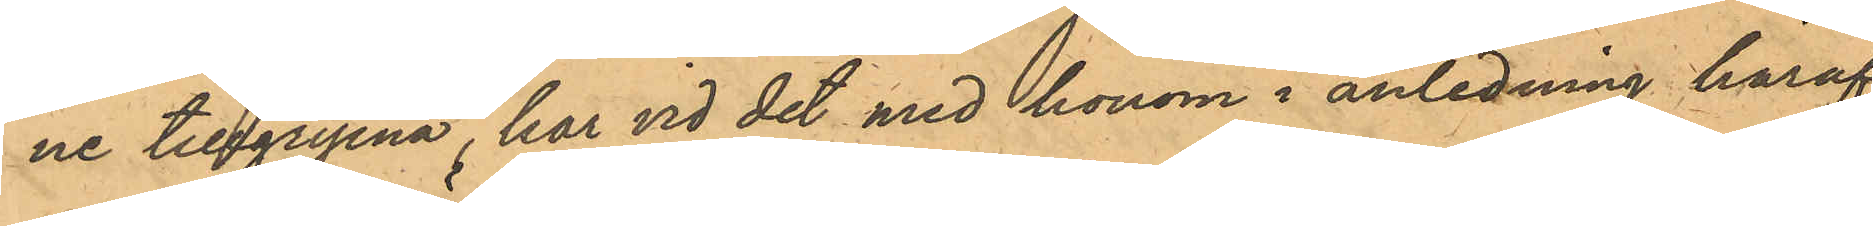ne tillgripna, har vid det med honom i anledning häraf
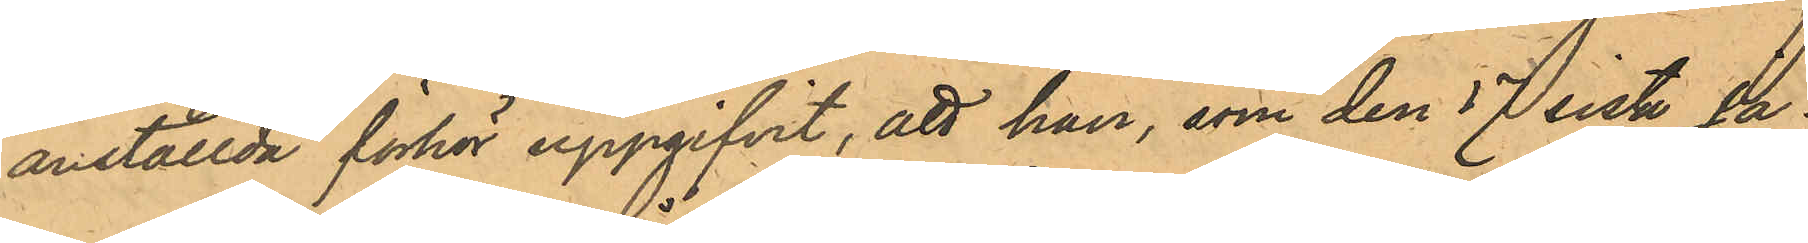anställda förhör uppgifvit, att han, som den 17 sist. Ja¬
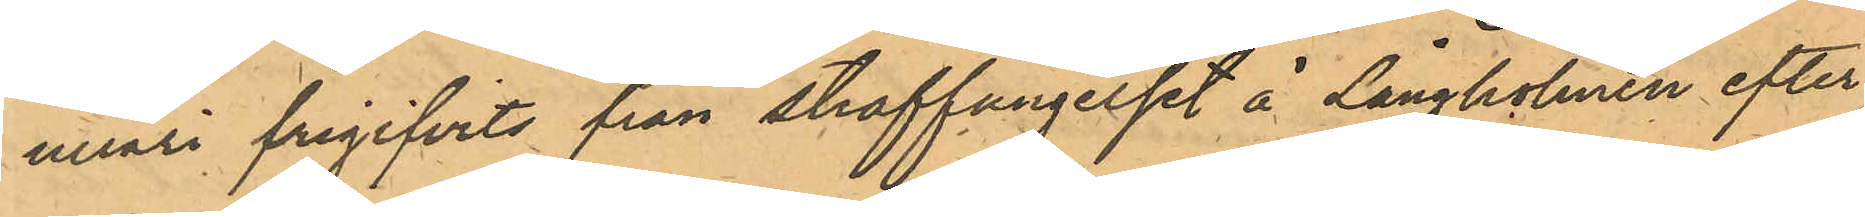nuari frigifvits från straffängelset å Långholmen efter
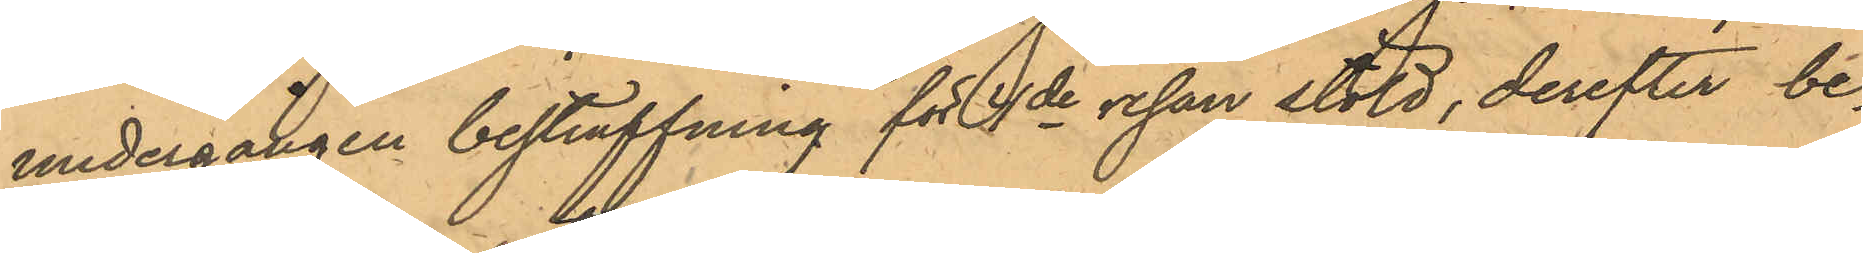undergången bestraffning för 4de resan stöld, derefter be¬
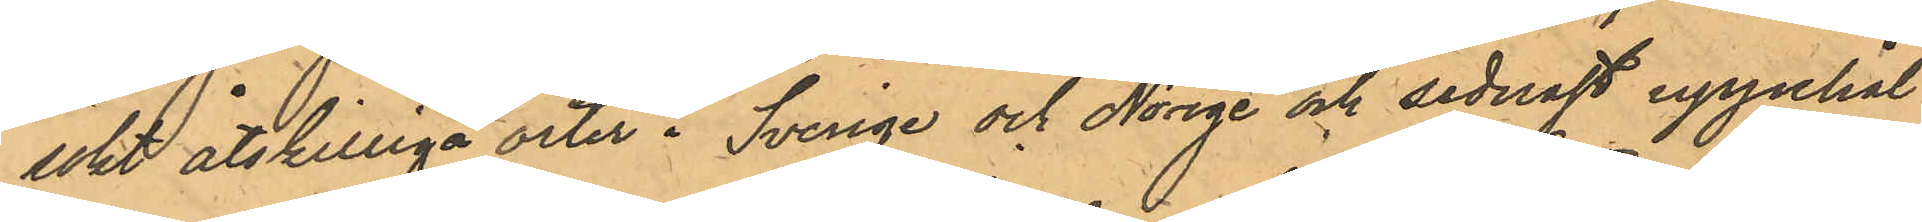sökt åtskilliga orter i Sverige och Norige och sednast uppehål¬
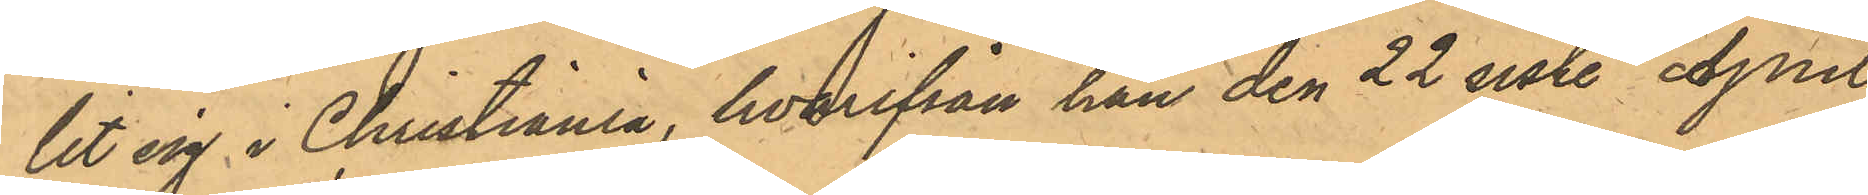lit sig i Christiania, hvarifrån han den 22 sist. April
